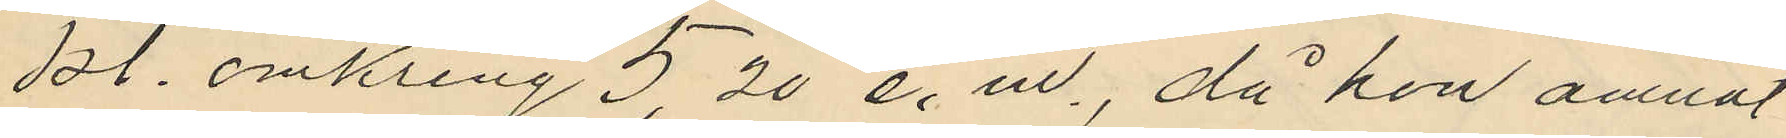kl. omkring 5,20 e. m., då hon ämnat
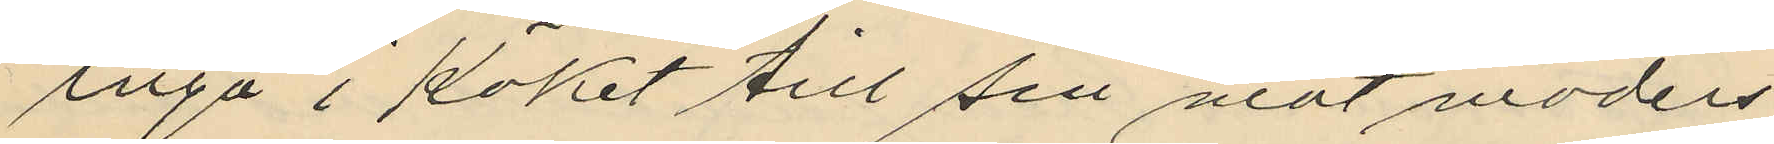ingå i köket till sin matmoders
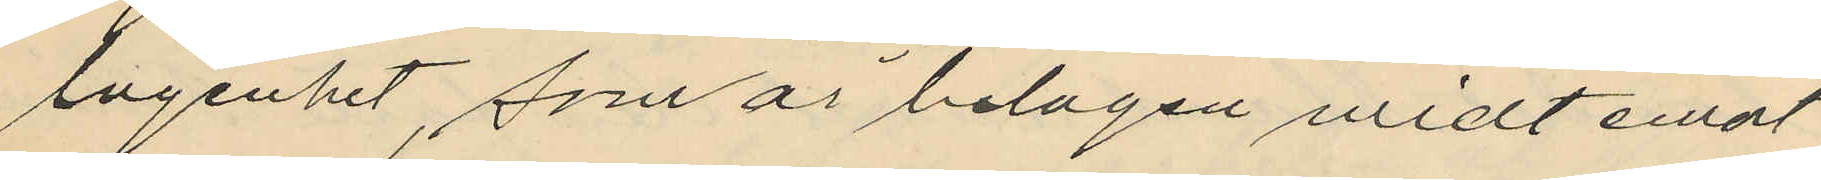lägenhet, som är belägen midt emot
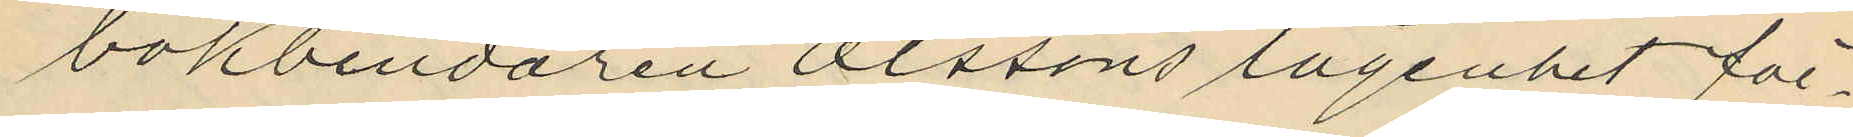bokbindaren Olssons lägenhet för¬
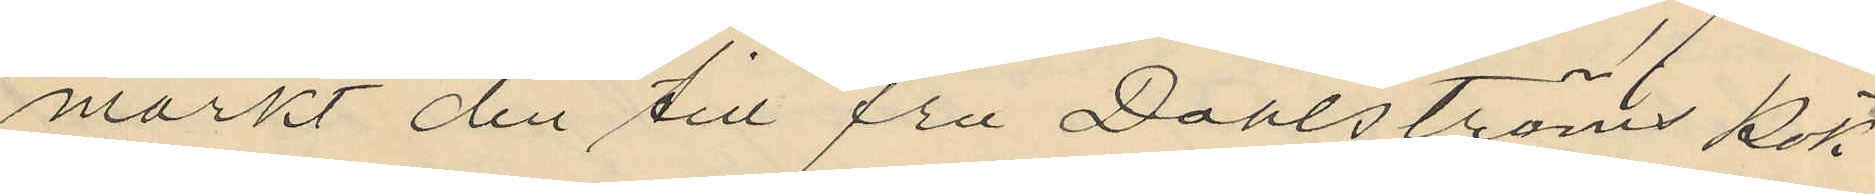märkt den till fru Dahlströms kök
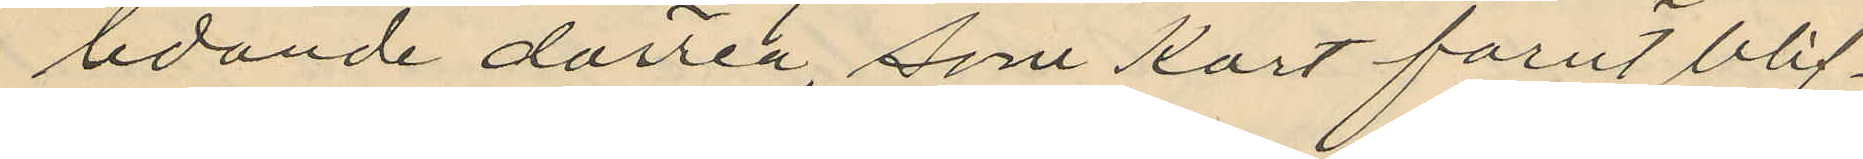ledande dörren, som kort förut blif¬
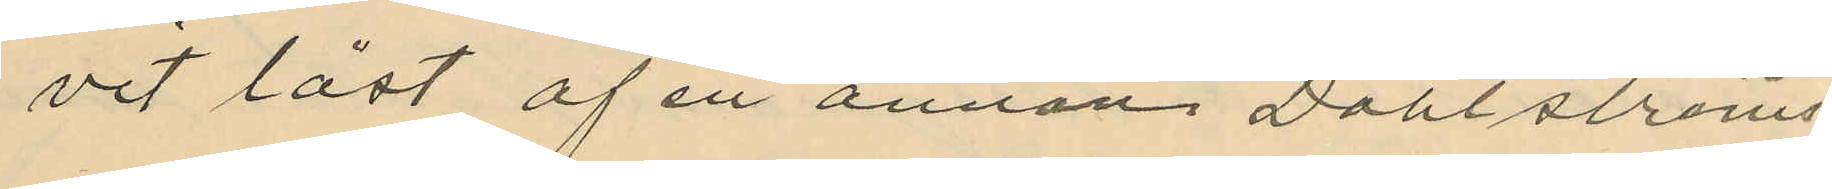vit låst af en annan Dahlströms
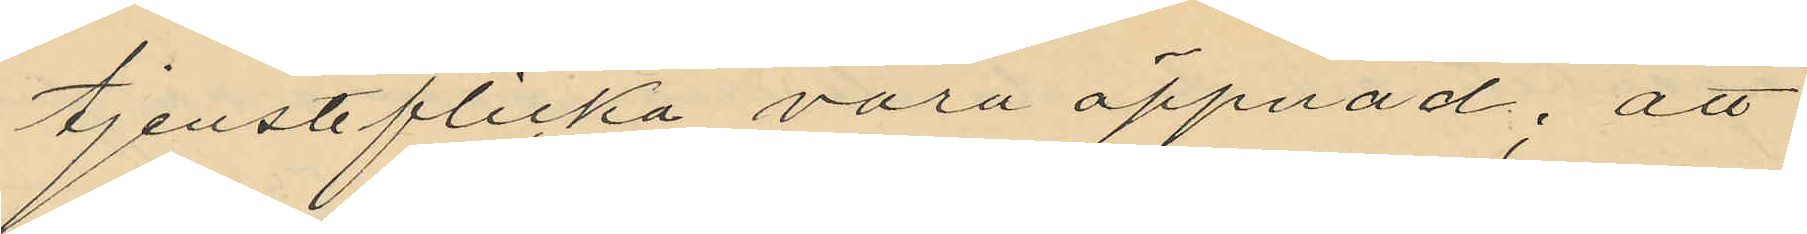tjensteflicka vara öppnad; att
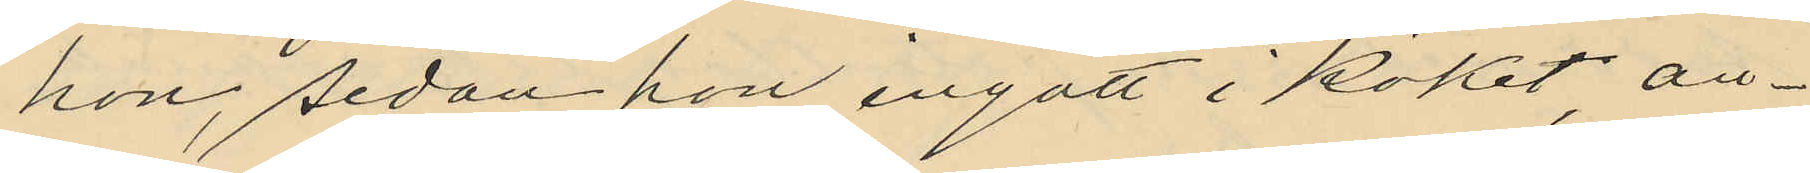hon, sedan hon ingått i köket, an¬
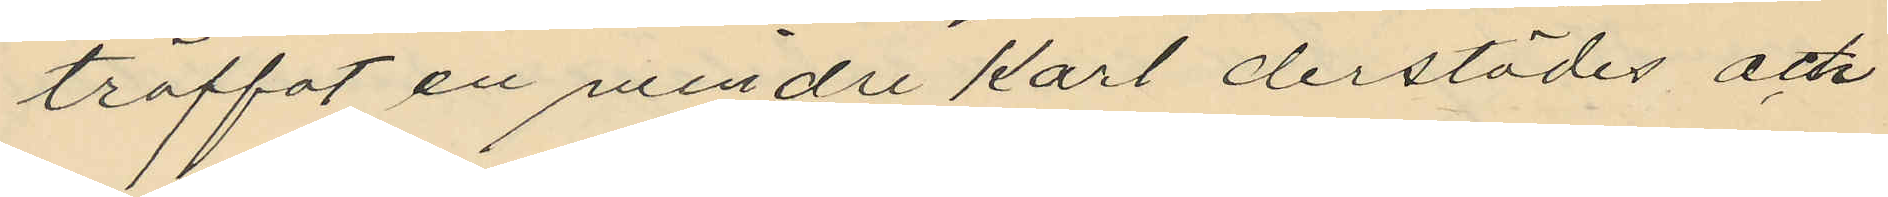träffat en mindre karl derstädes och
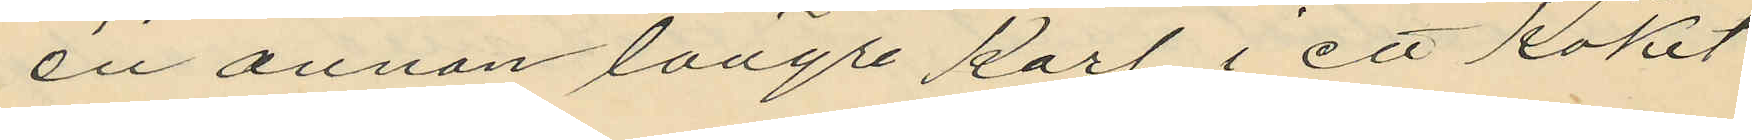en annan längre karl i ett köket
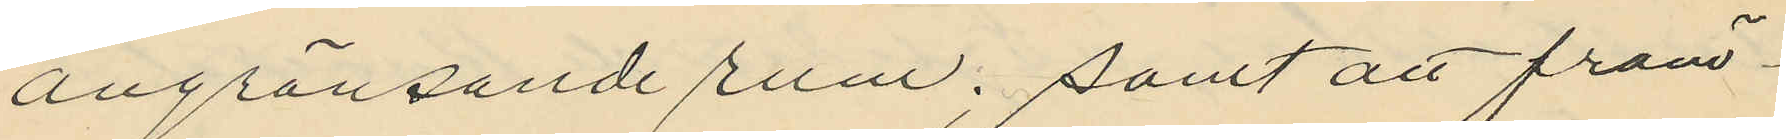angränsande rum; samt att främ¬
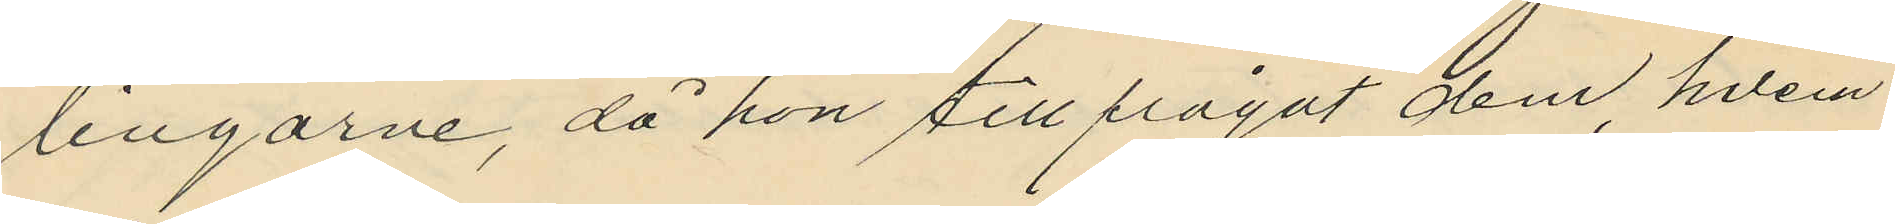lingarne, då hon tillfrågat dem, hvem
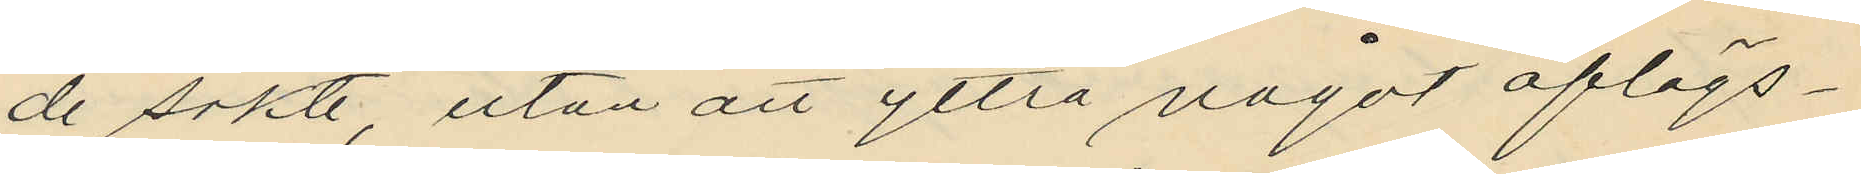de sökte, utan att yttra något aflägs¬
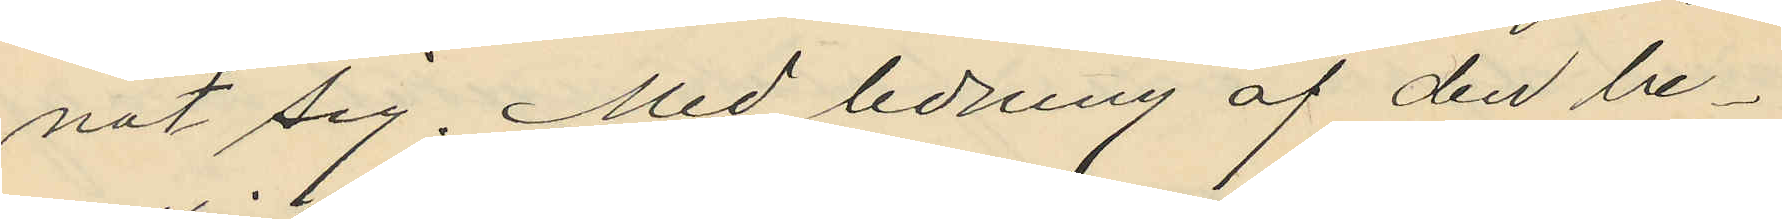nat sig. Med ledning af den be¬
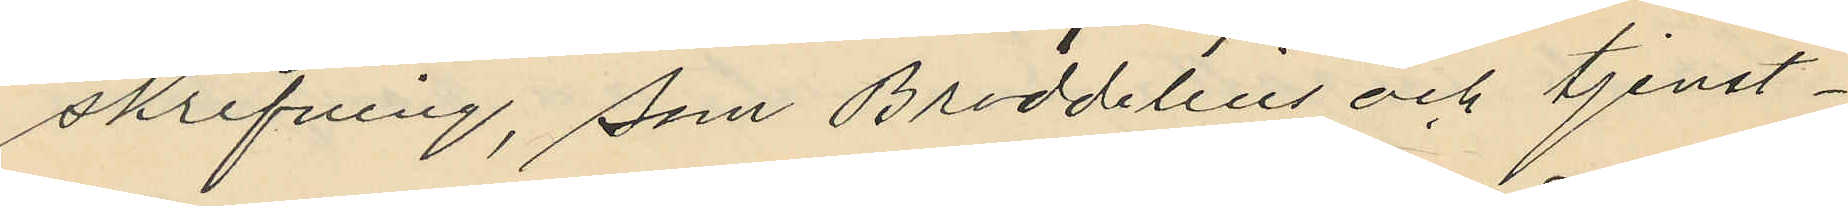skrifning, som Broddelius och tjenst¬
